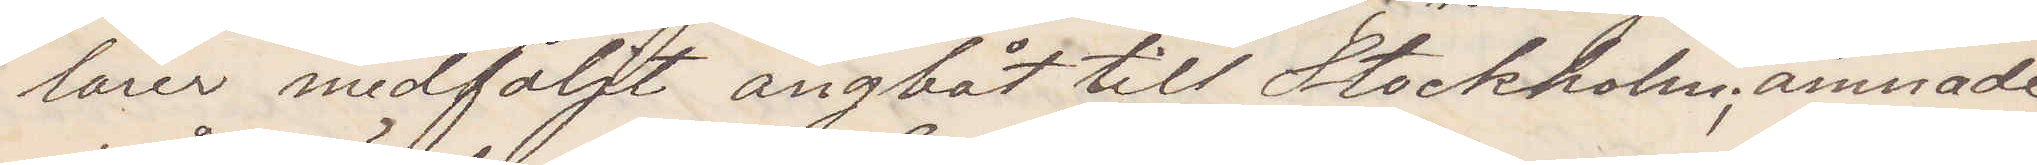lärer medföljt ångbåt till Stockholm; ämnade
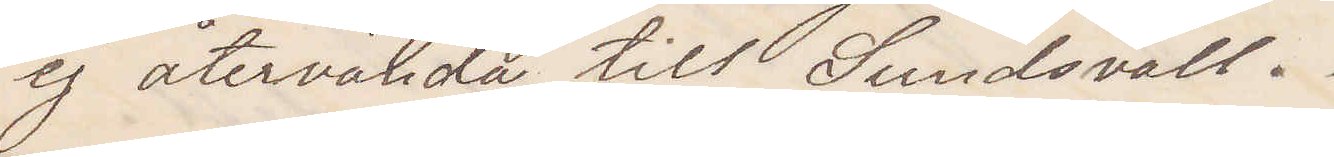ej återvända till Sundsvall.
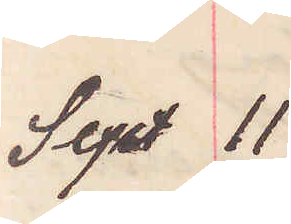Sept 11
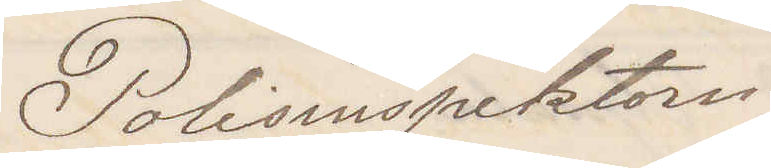Polisinspektorn.
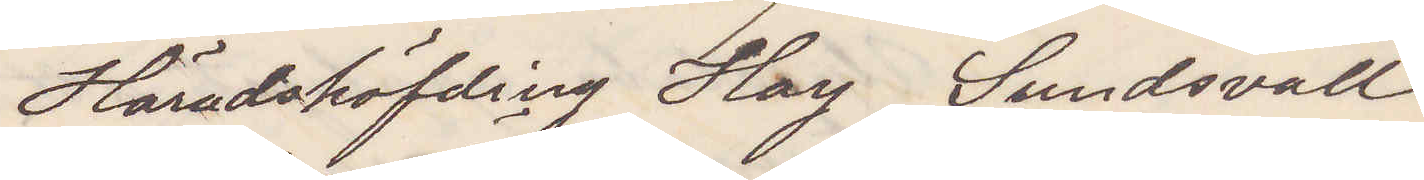Häradshöfding Hay Sundsvall
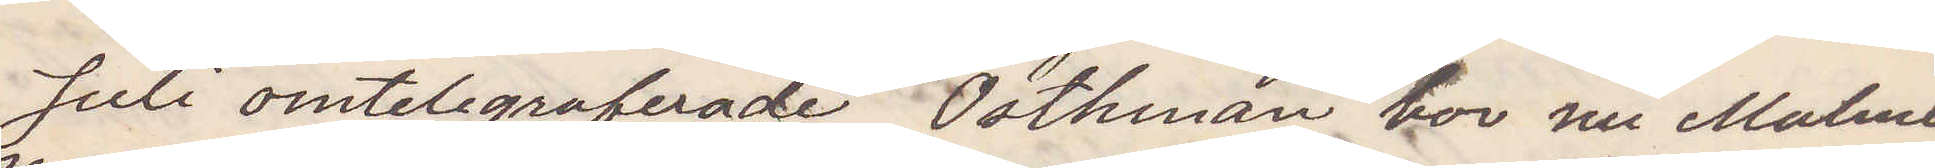Juli omtelegraferade Östhman bor nu Malmö,
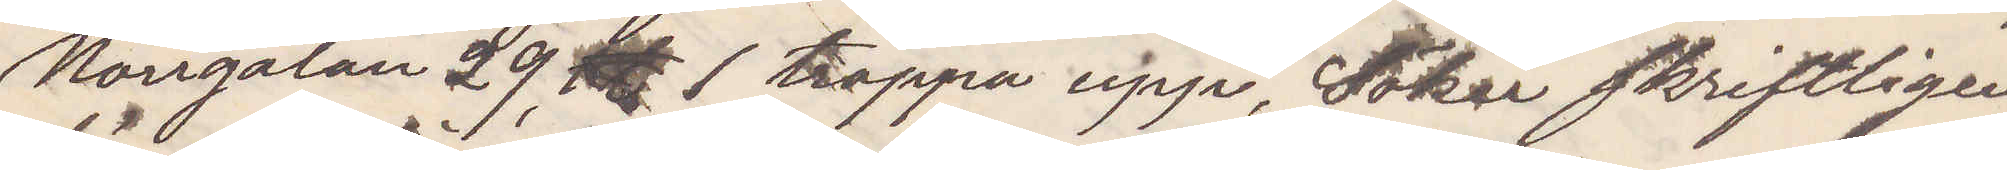Norrgatan 29 1 trappa upp, Söker skriftligen
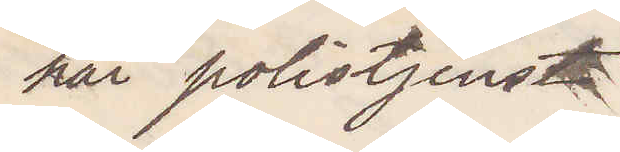här polistjenst
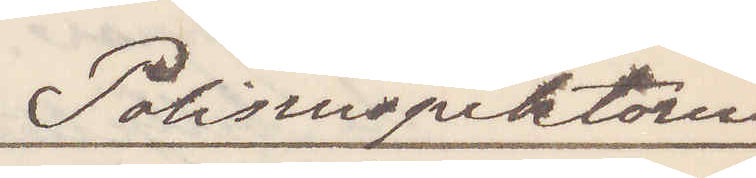Polisinspektorn.
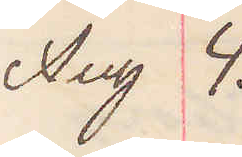Aug 4.
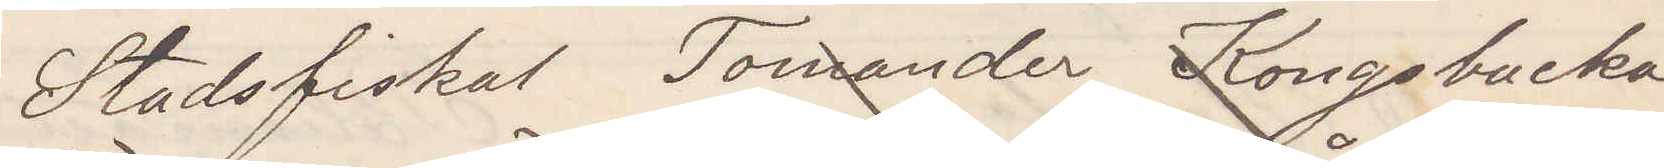Stadsfiskal Tomander Kongsbacka
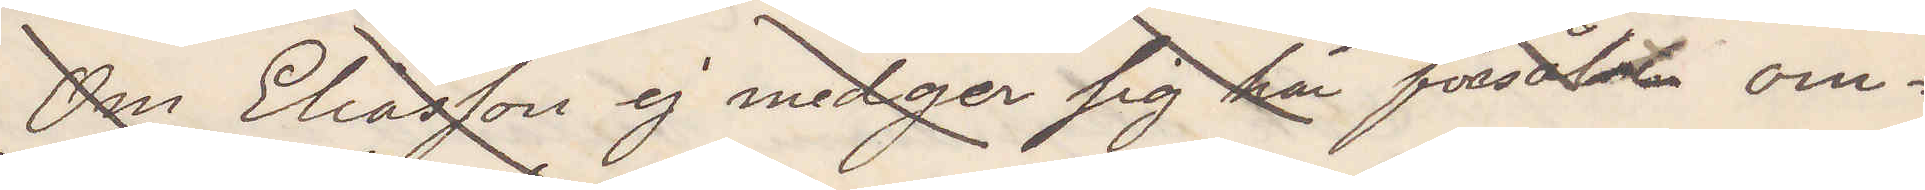Om Eliasson ej medger sig här forsålt om¬
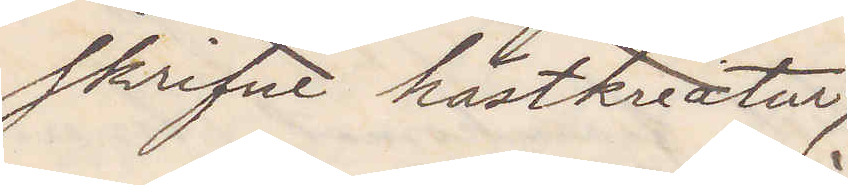skrifne hästkreatur,
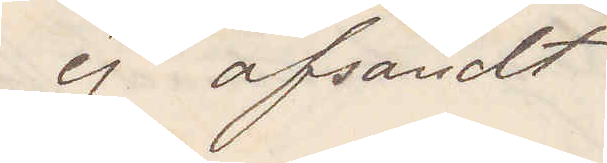ej afsändt
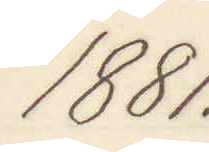1881.
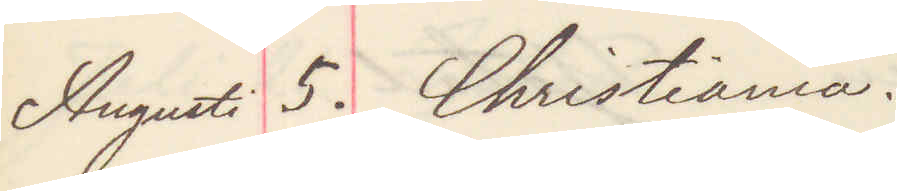Augusti 5. Christiania.
